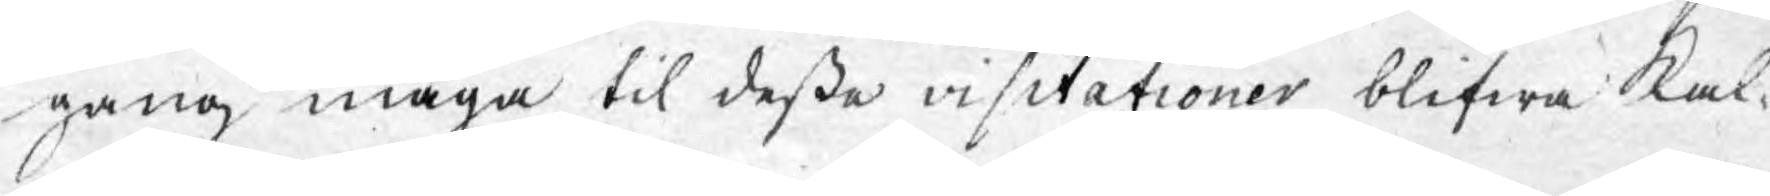gång måga til deße visitationer blifwa kal¬
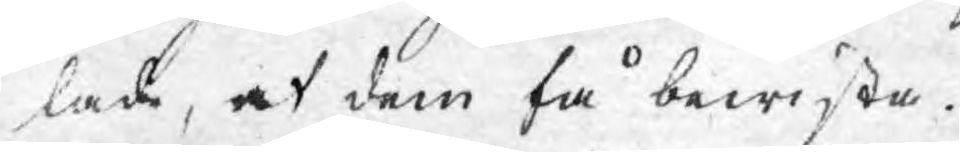lade, at dem få bewista.
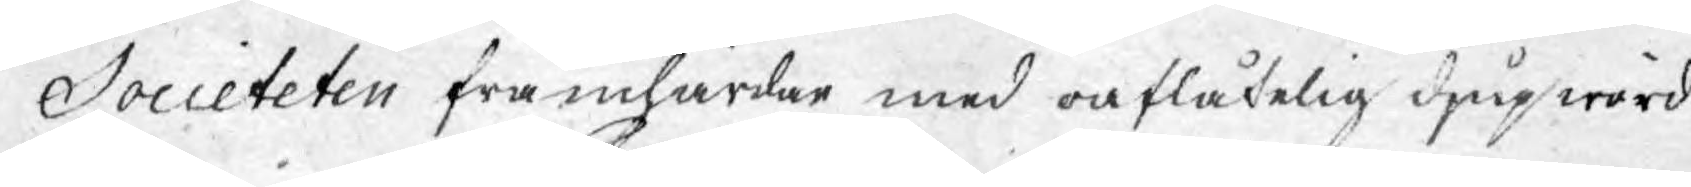Societeten framhärdar med oaflåtelig djup wörd¬
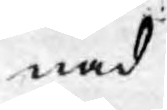nad
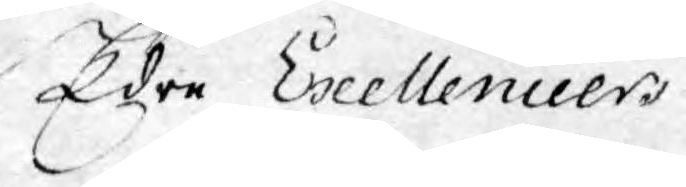Edre Exellencier,
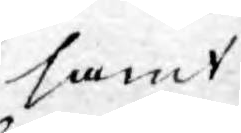samt
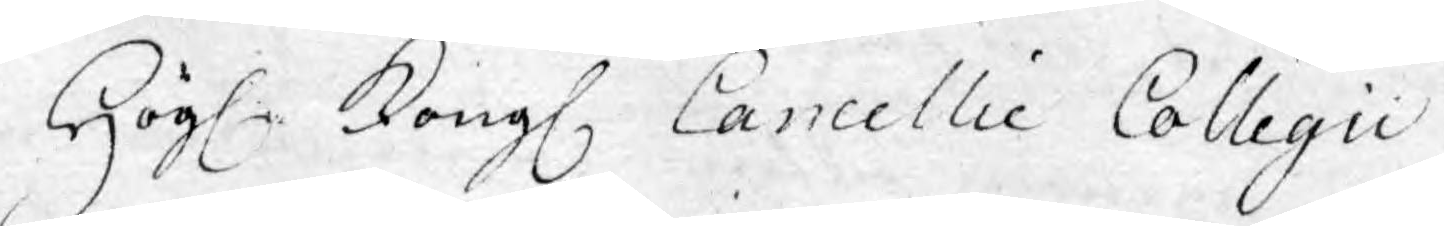Högl. Kongl. Cancellie Collegii
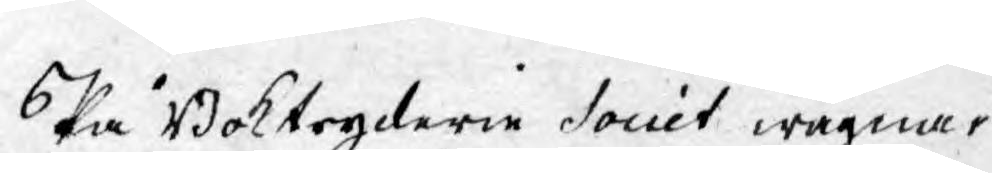På Boktryckerie Societ wägnar
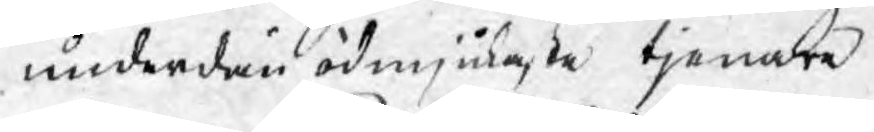underdån ödmjukaste tjenare
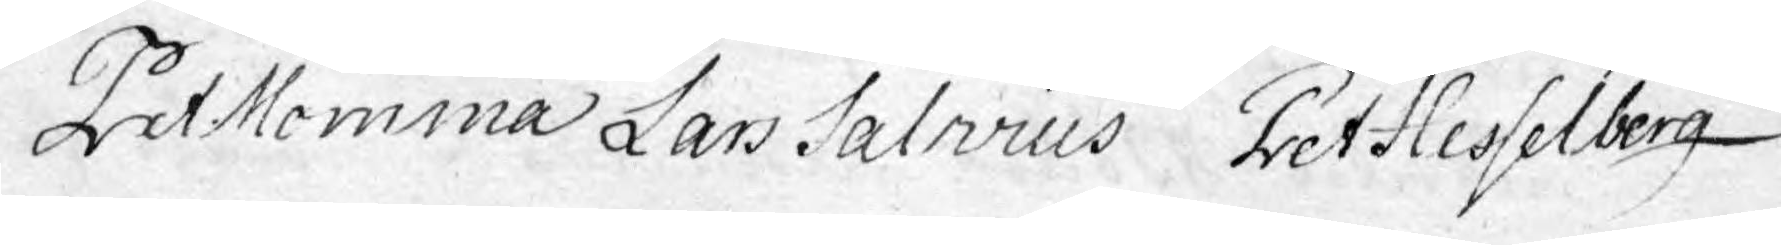Pet. Momma Lars Salwius Pet. Hesselberg
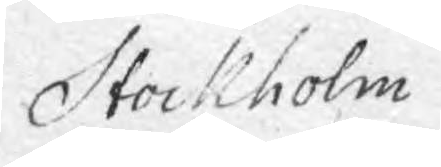Stockholm
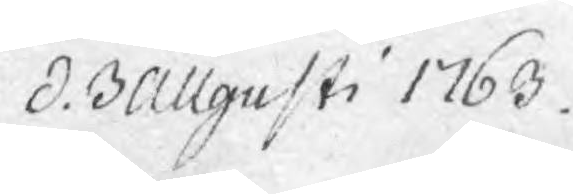d. 3 Augusti 1763.
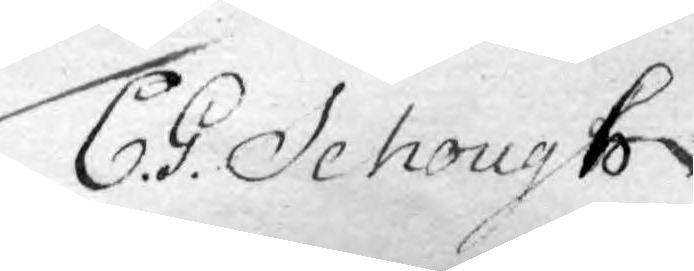C. G. Schough
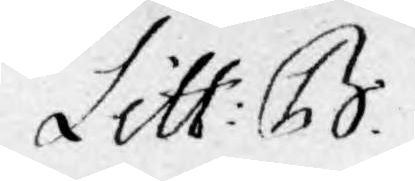Litt: B
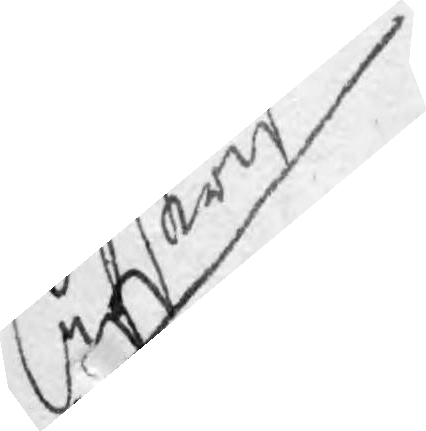Afskrift
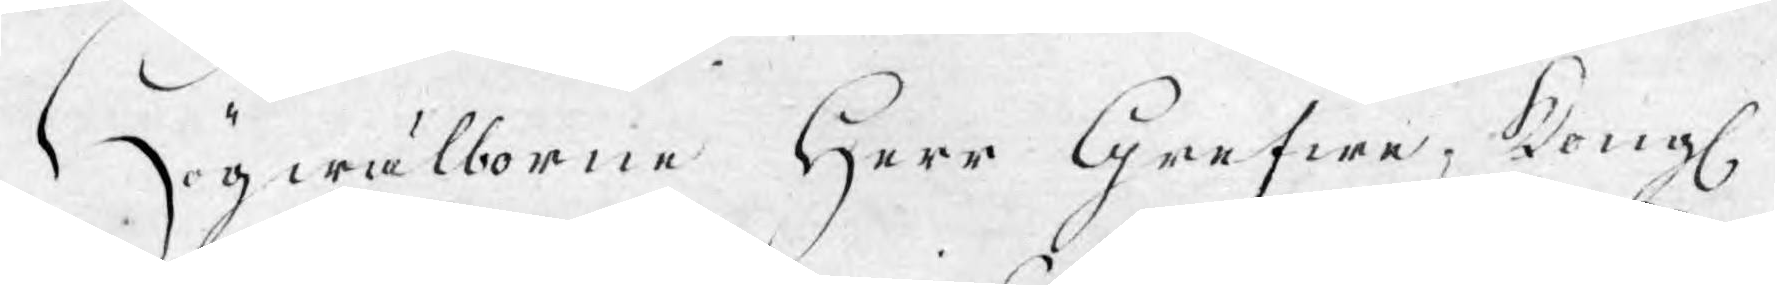Högwälborne Herr Grefwe, Kongl.
